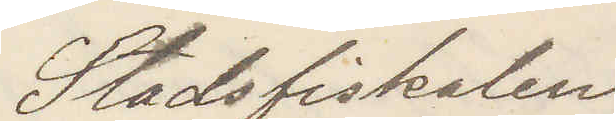Stadsfiskalen
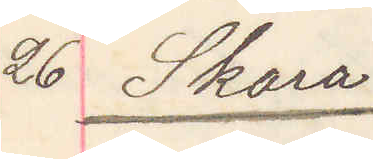26 Skara
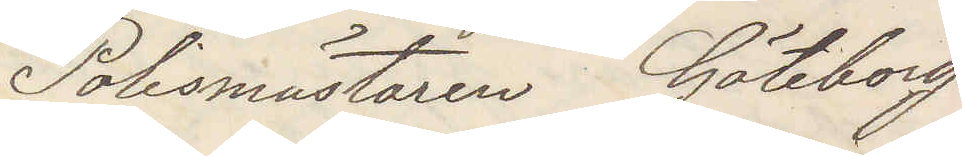Polismästaren Göteborg.
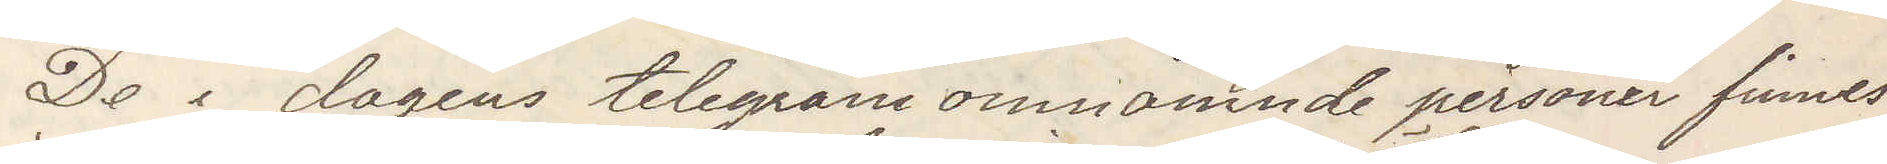De i dagens telegram omnämnde personer finnes
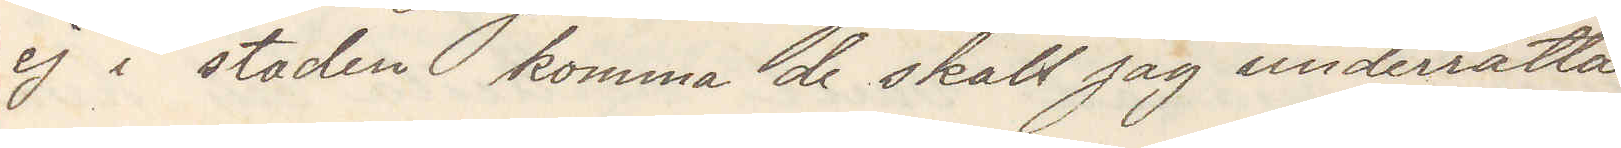ej i staden komma de skall jag underrätta
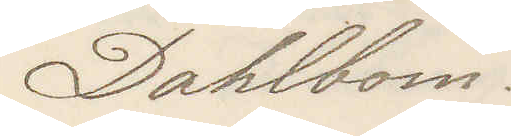Dahlbom
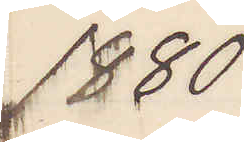1880
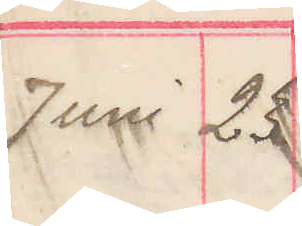Juni 23
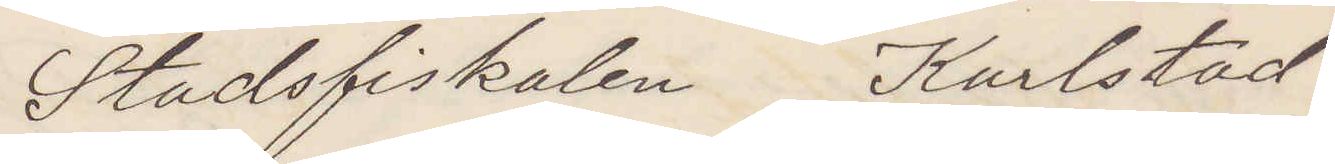Stadsfiskalen Karlstad.
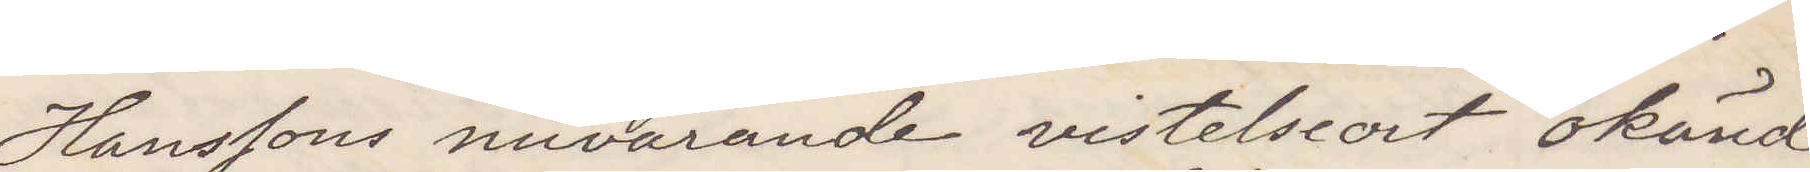Hanssons nuvarande vistelseort okänd.
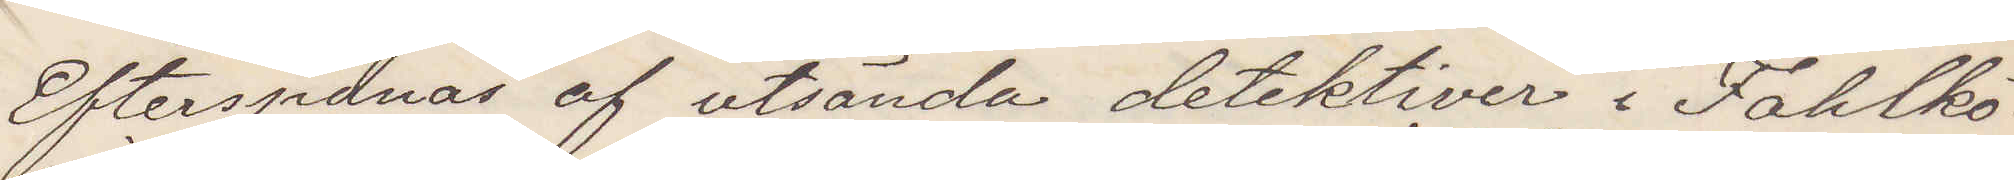Efterspanas af utsända detektiver i Fahlkö¬
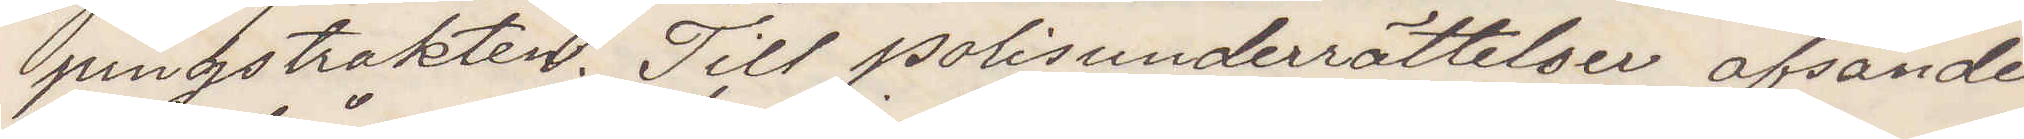pingstrakten. Till polisunderrättelser afsändes
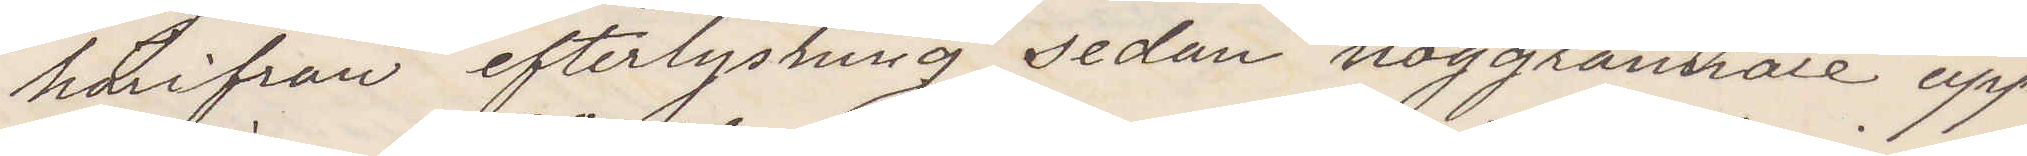härifrån efterlysning sedan noggrannare upp¬
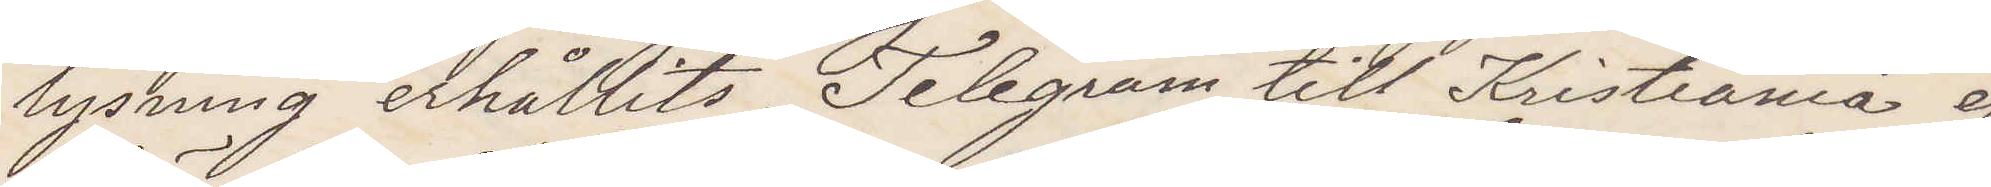lysning erhållits. Telegram till Kristiania ej
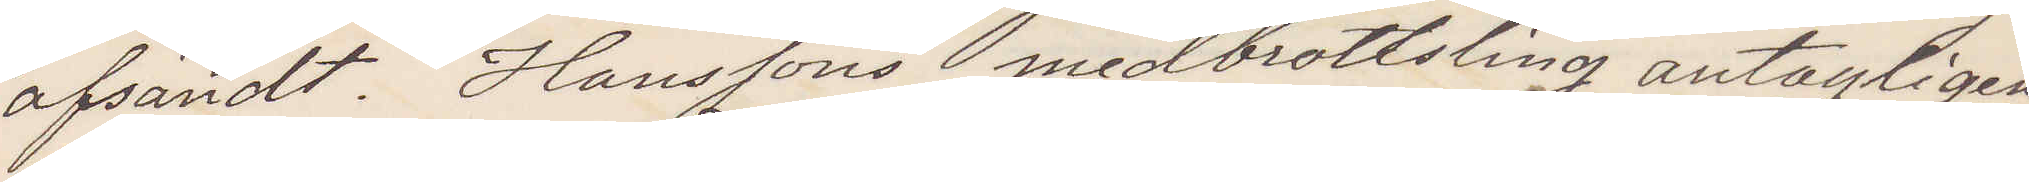afsändt. Hanssons medbrottsling antagligen
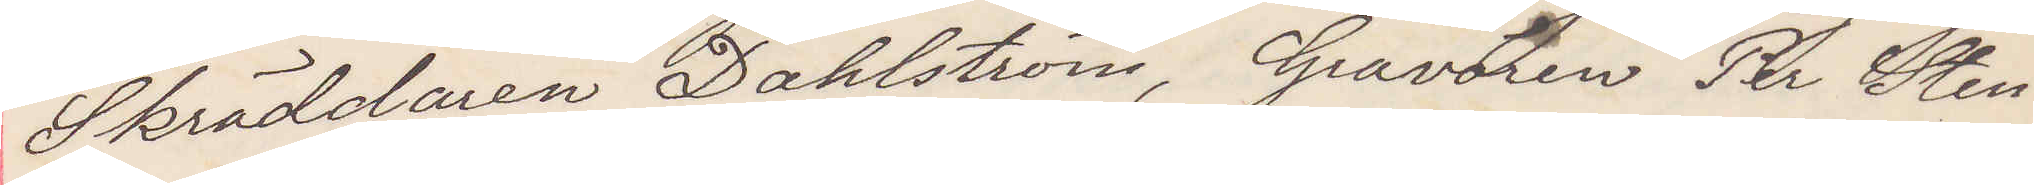Skräddaren Dahlström, Gravören Per Sten¬
